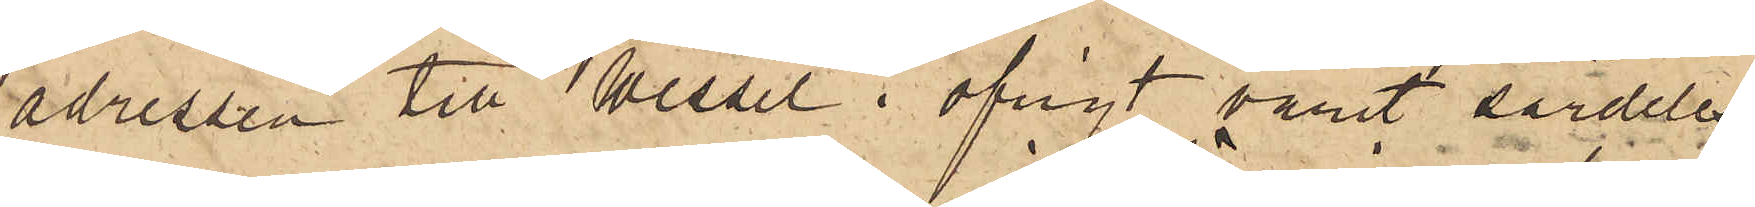adressen till Wessel i öfrigt varit särdeles
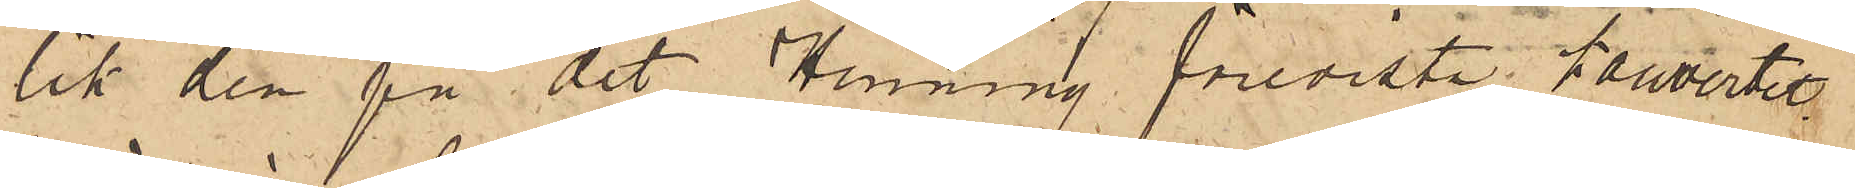lik den på det Henning föreviste kouvertet
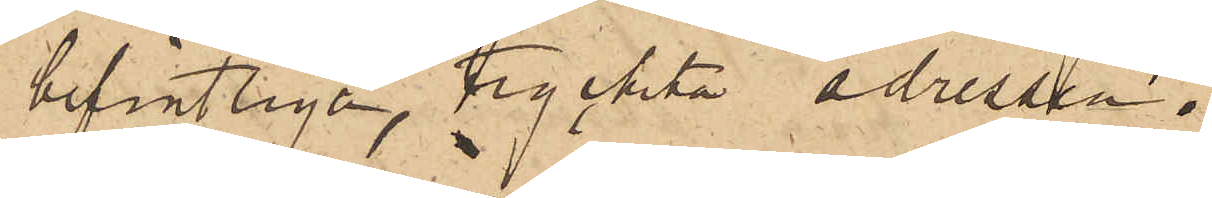befintlige, tryckte adressen.
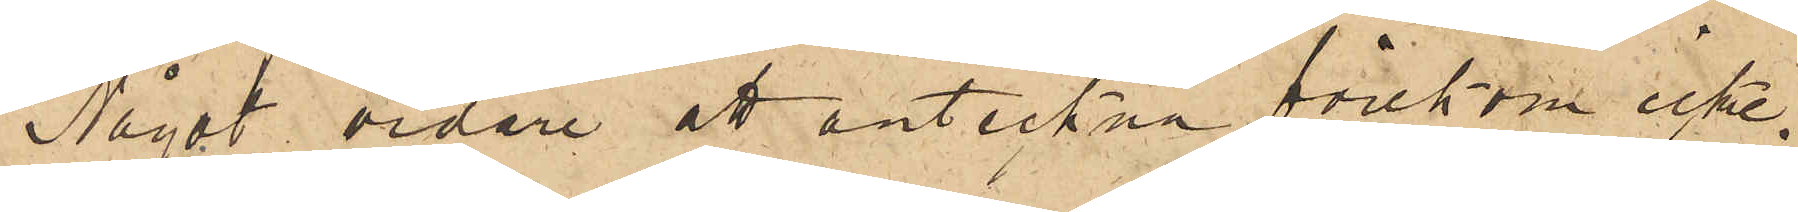Något vidare att anteckna förekom icke.
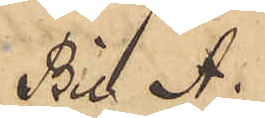Bil A.
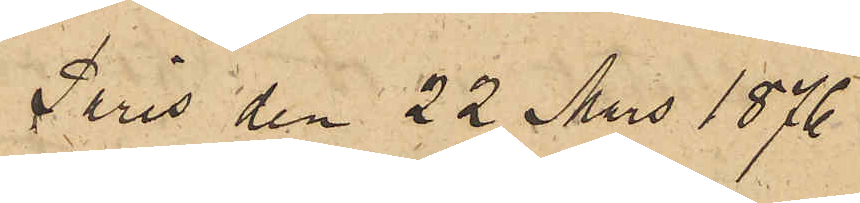Paris den 22 Mars 1876
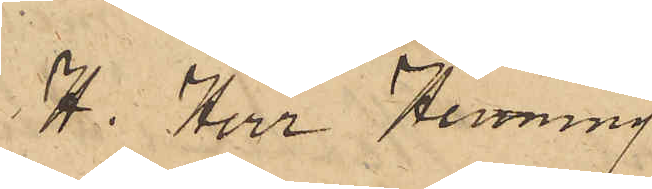H. Herr Henning
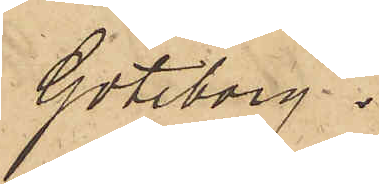Göteborg
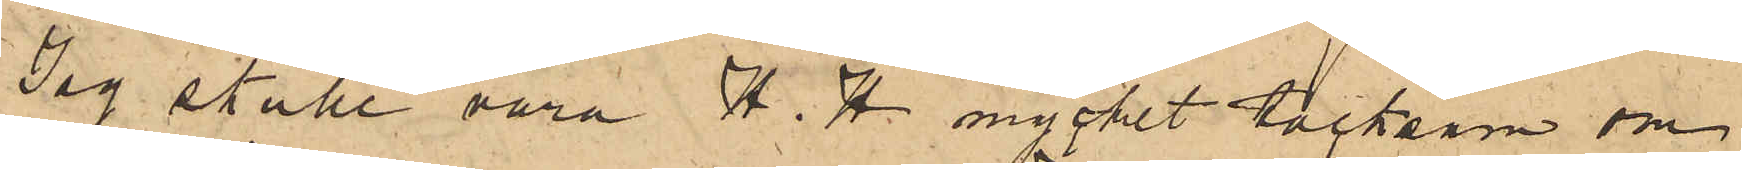Jag skulle vara H. H. mycket tacksam om
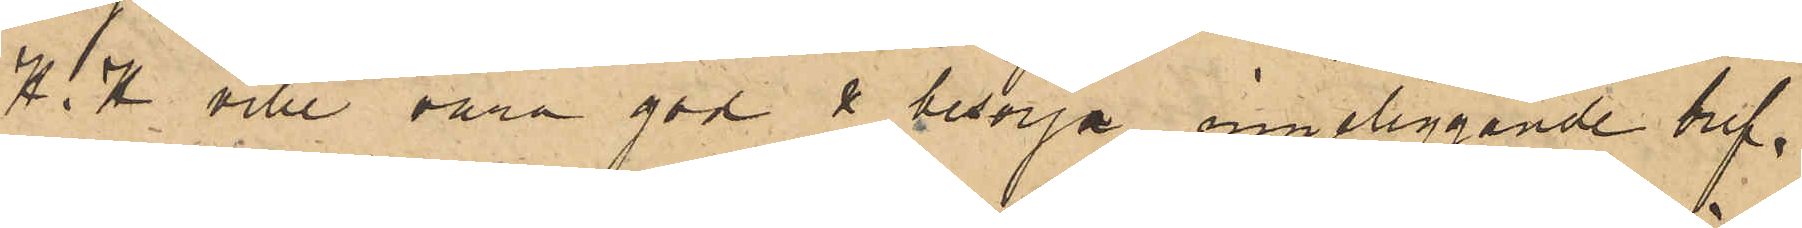H.H. ville vara god & ombesörja inneliggande bref.
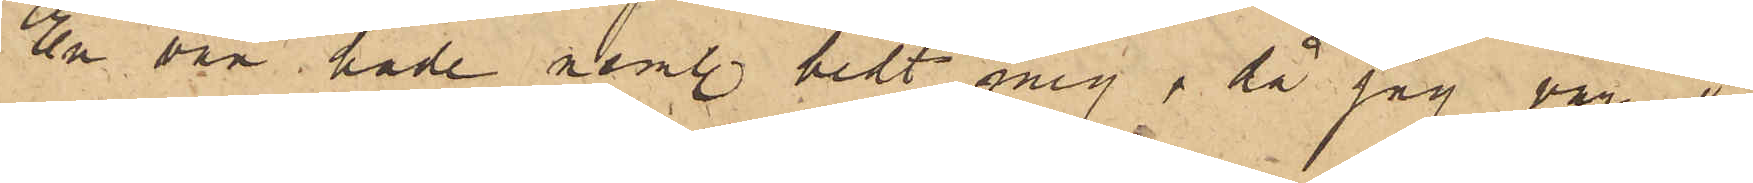En vän hade neml. bedt mig, då jag var i
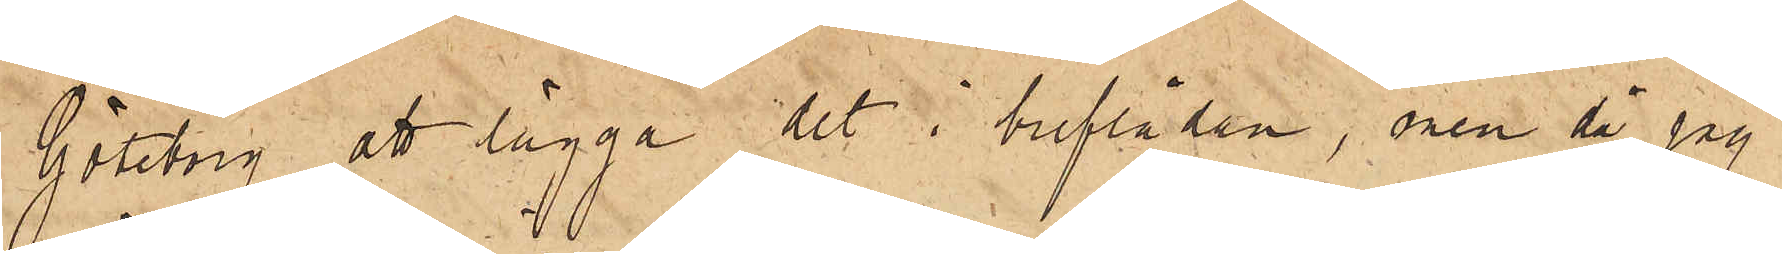Göteborg att lägga det i breflådan, men då jag
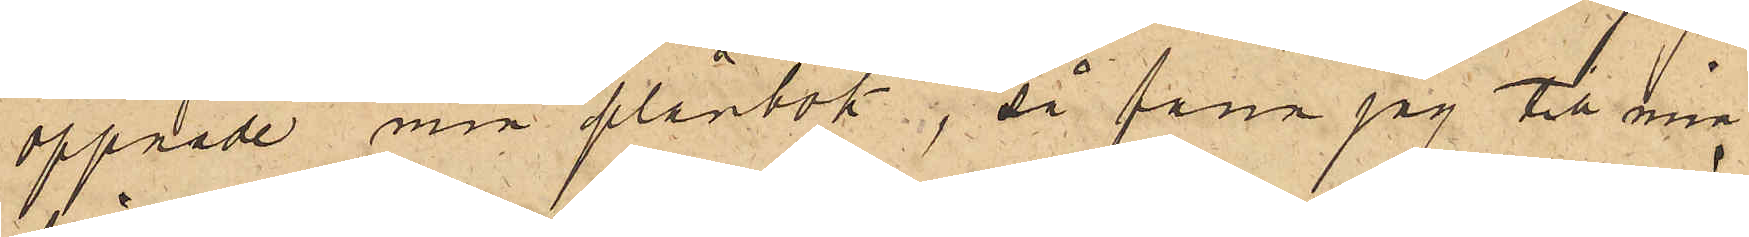öppnade min plånbok, så fann jag till min
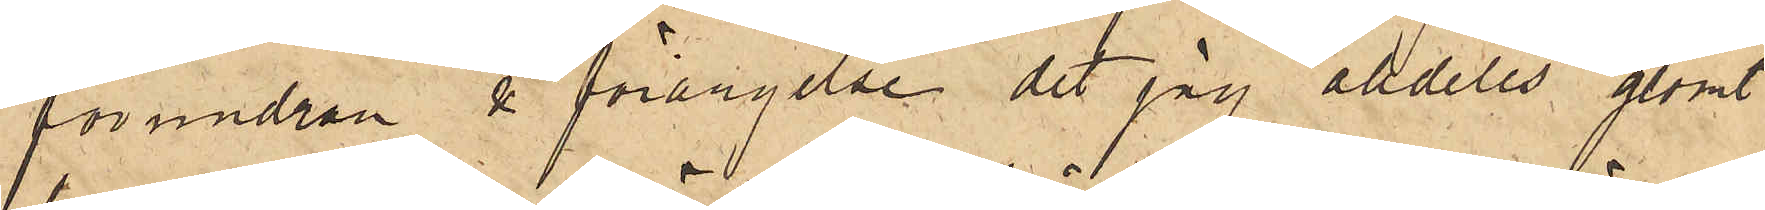förundran & förargelse det jag afdeles glömt
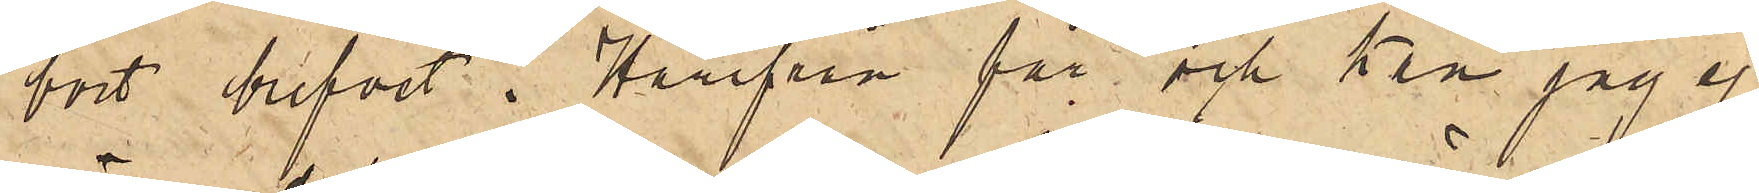bort brefvet. Härifrån får och kan jag ej
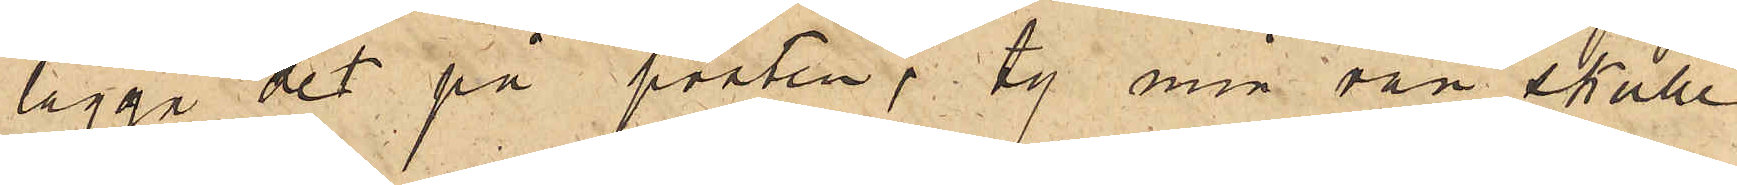lägga det på posten, ty min vän skulle
